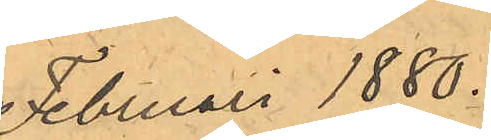Februari 1880.
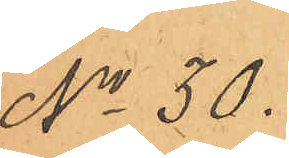No 30.
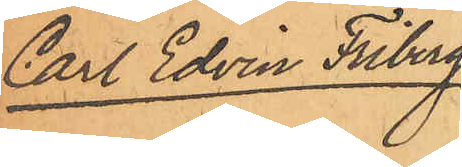Carl Edvin Friberg
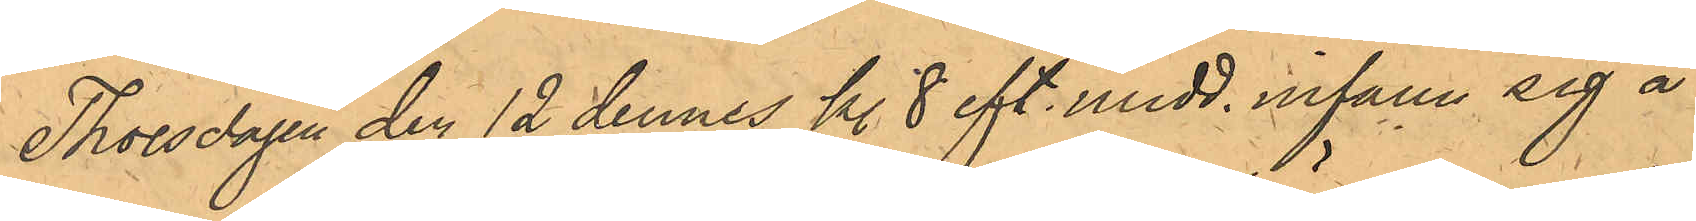Thorsdagen den 12 dennes kl. 8 eft. midd. infann sig å
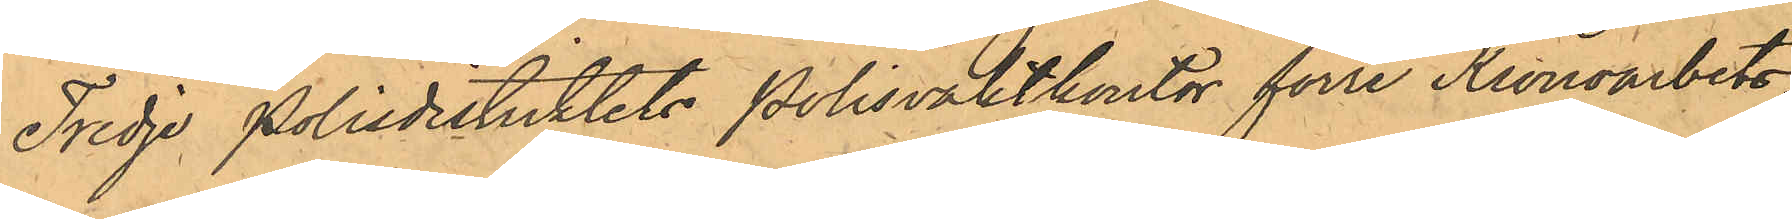Tredje Polisdistriktets Polisvaktkontor förre Kronoarbets¬
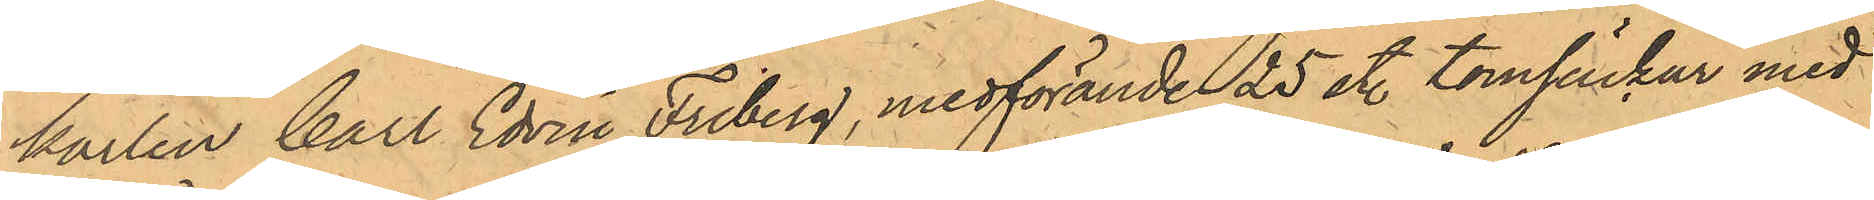karlen Carl Edvin Friberg, medförande 25 st. tomsäckar med
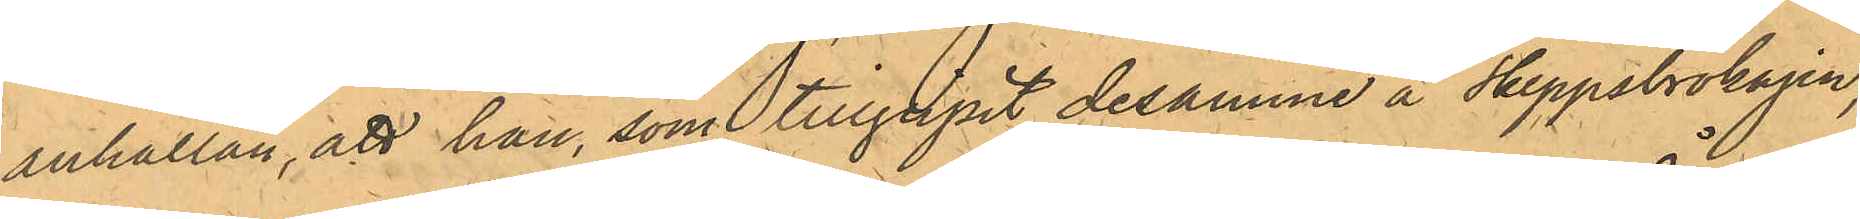anhållan, att han, som tillgripit desamma å Skeppsbrokajen,
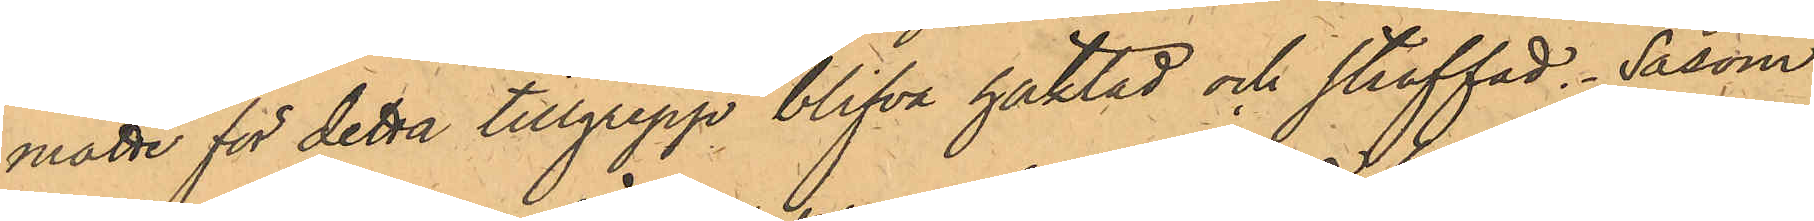måtte för detta tillgrepp blifva häktad och straffad. Såsom
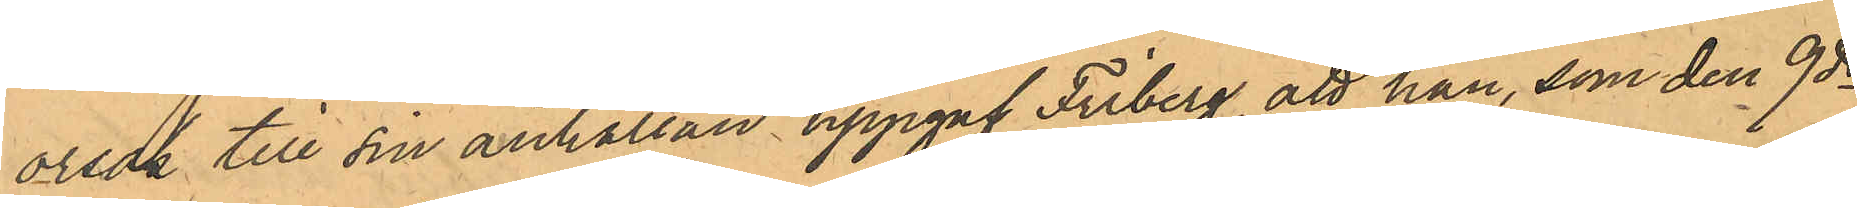orsak till sin anhållan uppgaf Friberg, att han, som den 9 ds
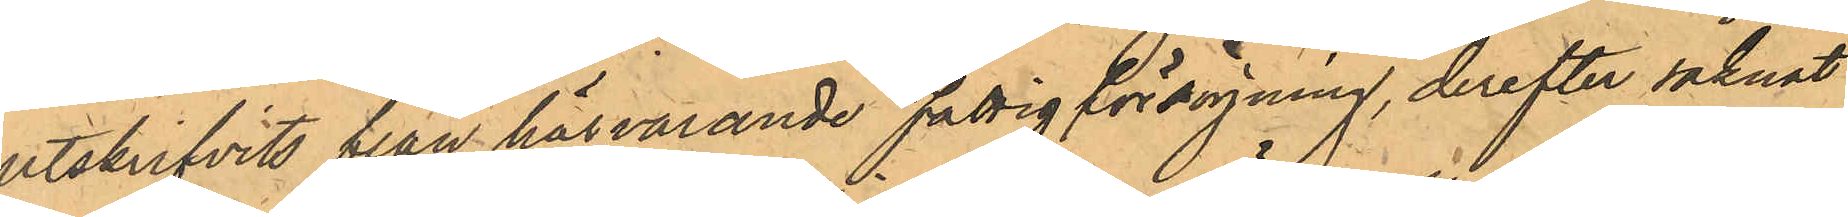utskrifvits från härvande Fattigvårdsförsörjning, derefter saknat
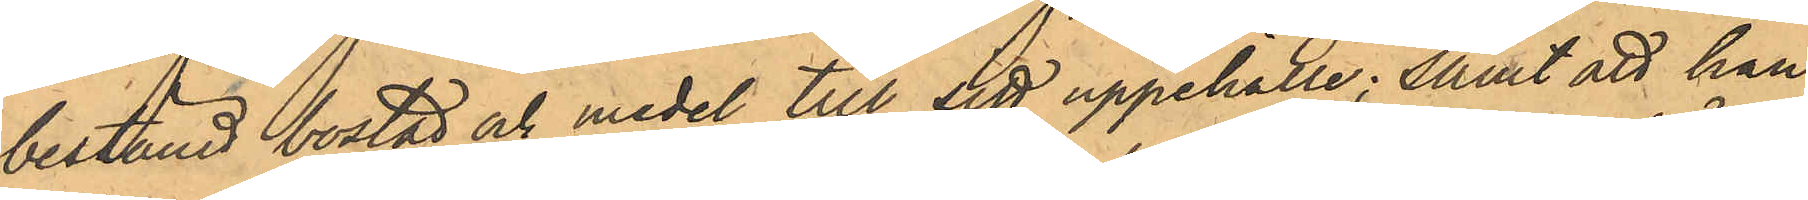bestämd bostad och medel till sitt uppehälle; samt att han
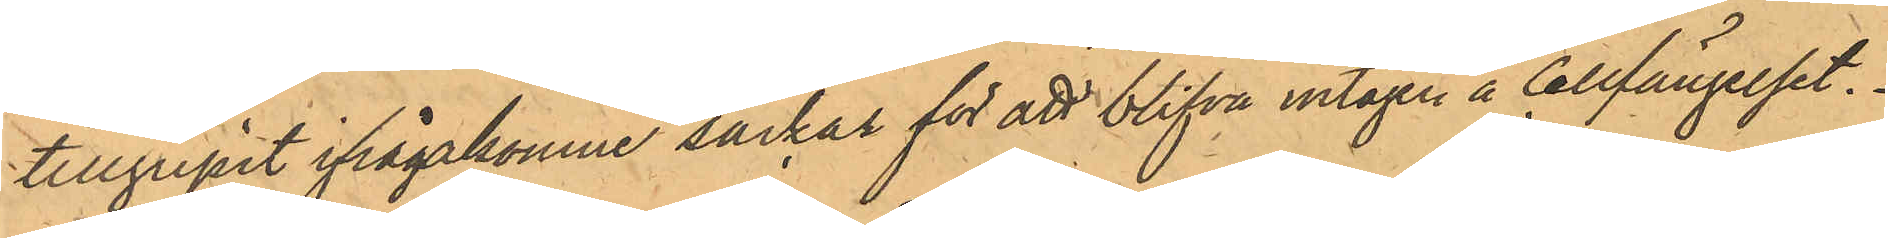tillgripit ifrågavarande säckar för att blifva intagen å Cellfängelset.
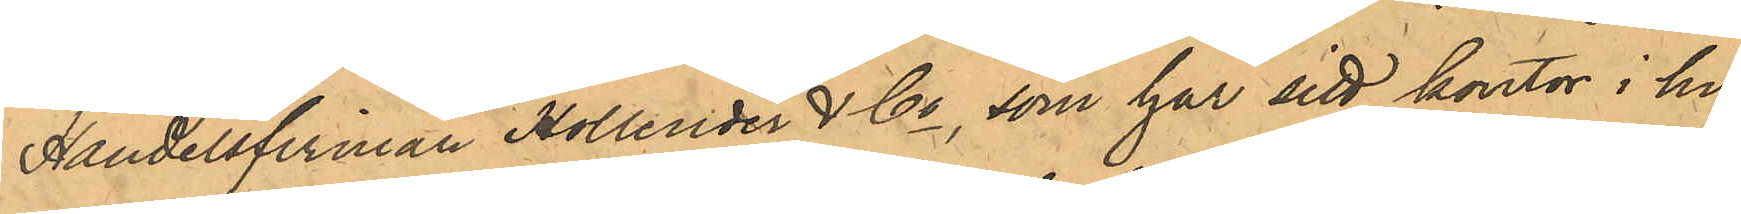Handelsfirman Hollender & Co, som har sitt kontor i hu¬
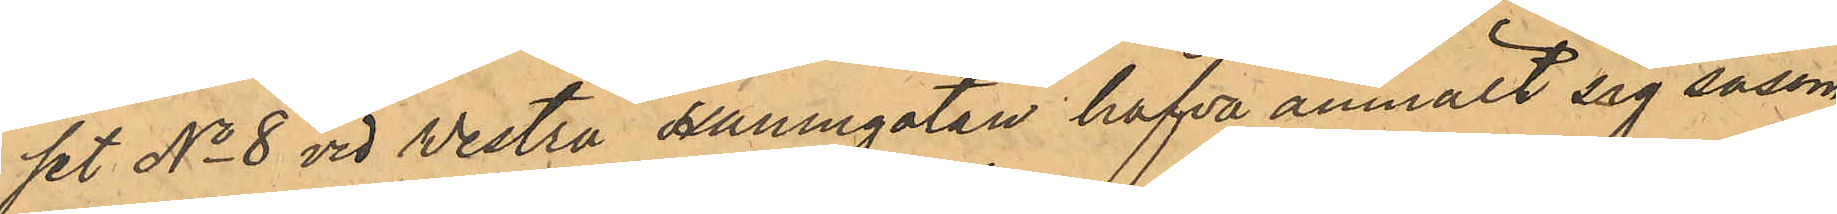set No 8 vid Vestra Hamngatan hafva anmält sig såsom
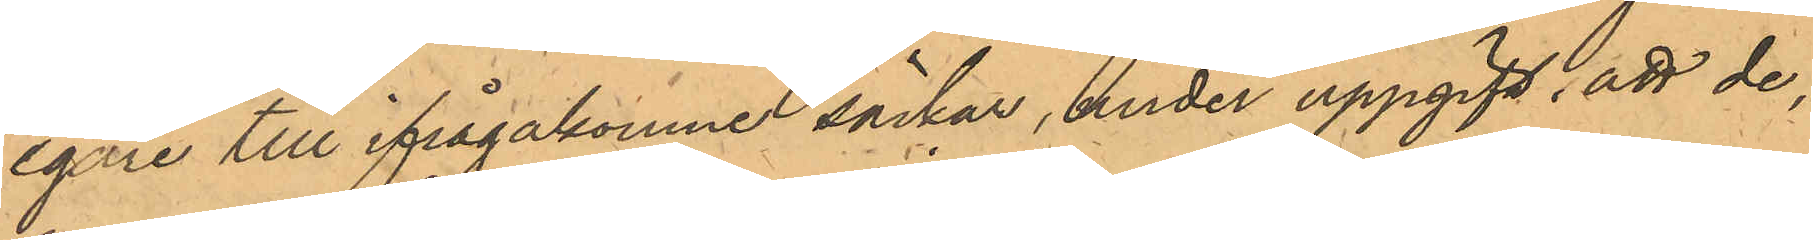egare till ifrågakomne säckar, under uppgift, att de,
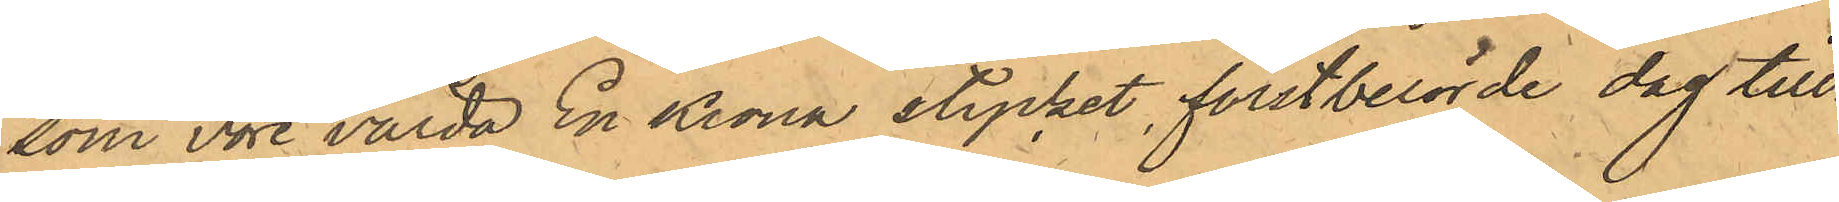som vore värde En Krona stycket, förstberörde dag till¬
